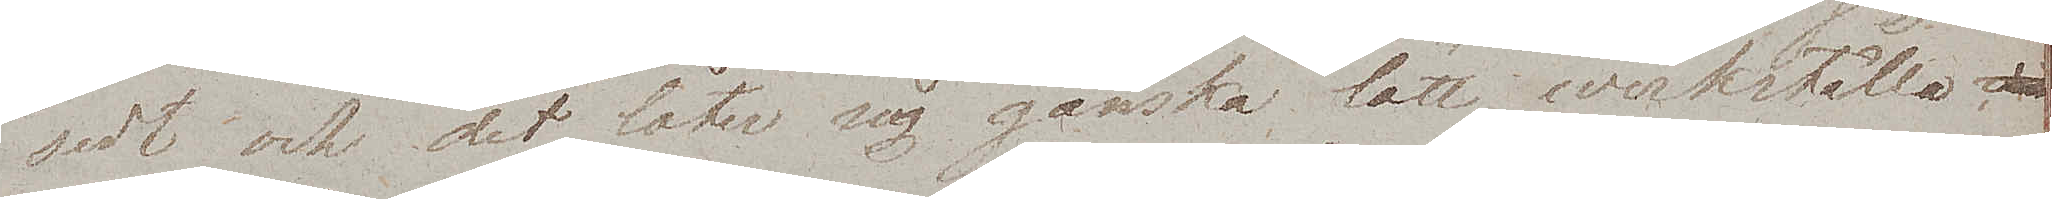sedt och det låter sig ganska lätt werkställa
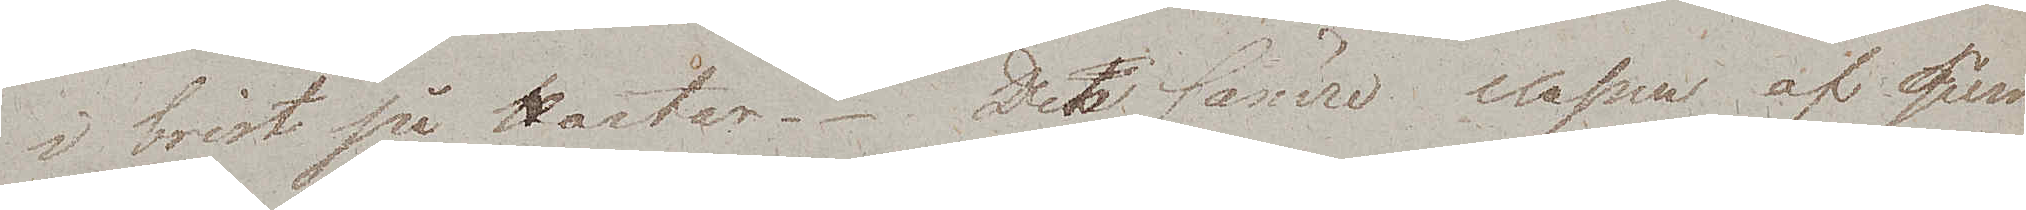i brist på Karlar. Den sämre classen af Qvin¬
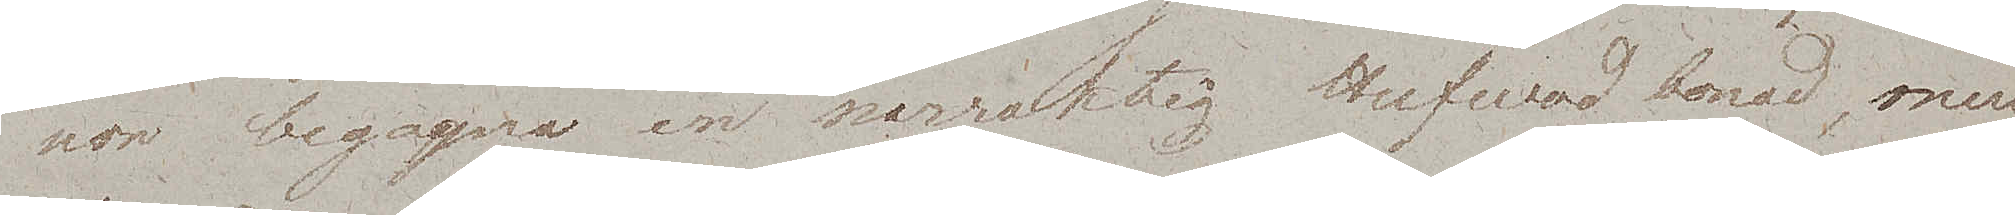nor begagna en narraktig Hufvudbonad, men
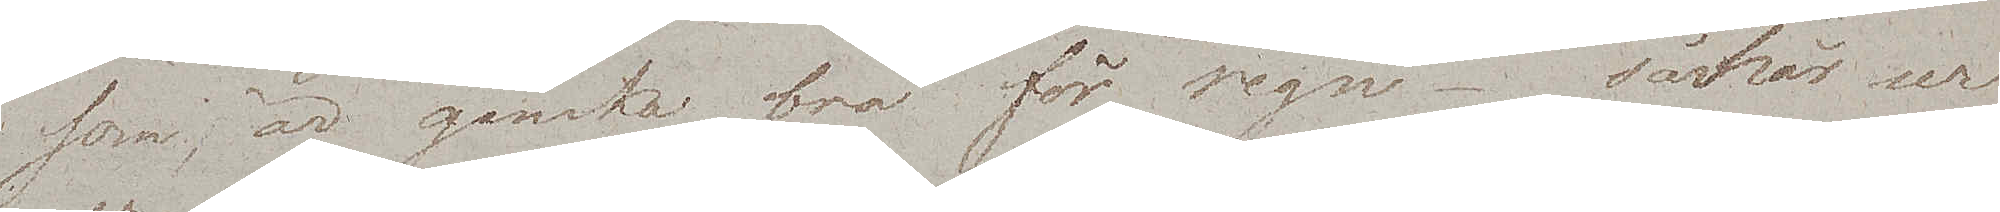som, är ganska bra för regn – såhär ser
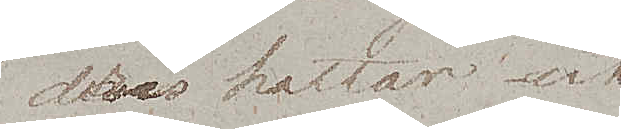deras hattar ut.
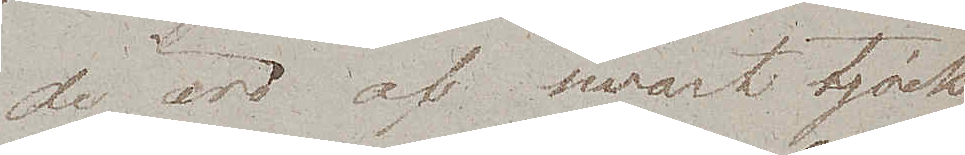De äro af swart tjock
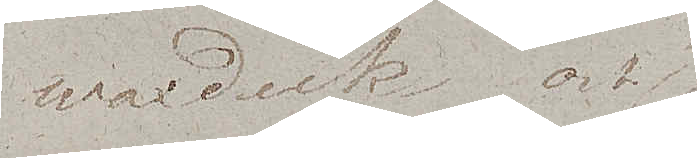waxduk och
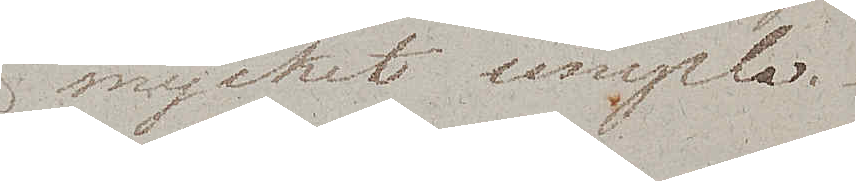mycket simpla.
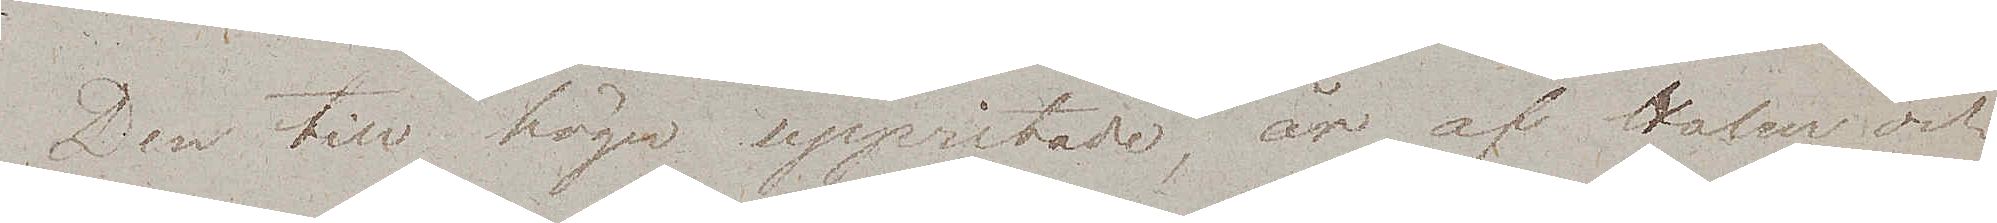Den till höger uppritade, är af Halm och
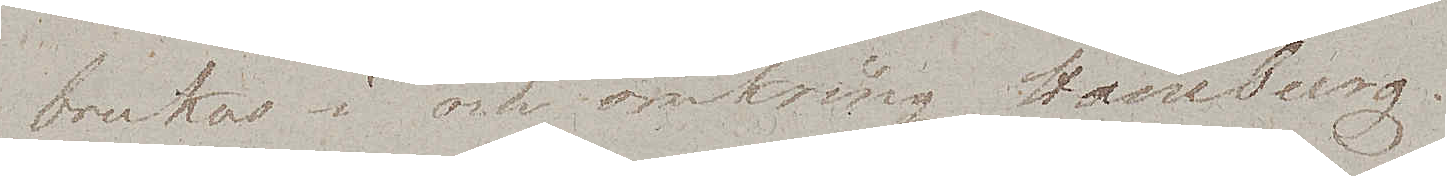brukas i och omkring Hamburg.
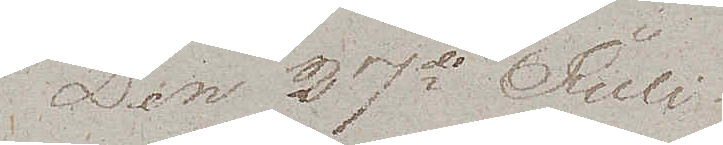Den 27de Juli
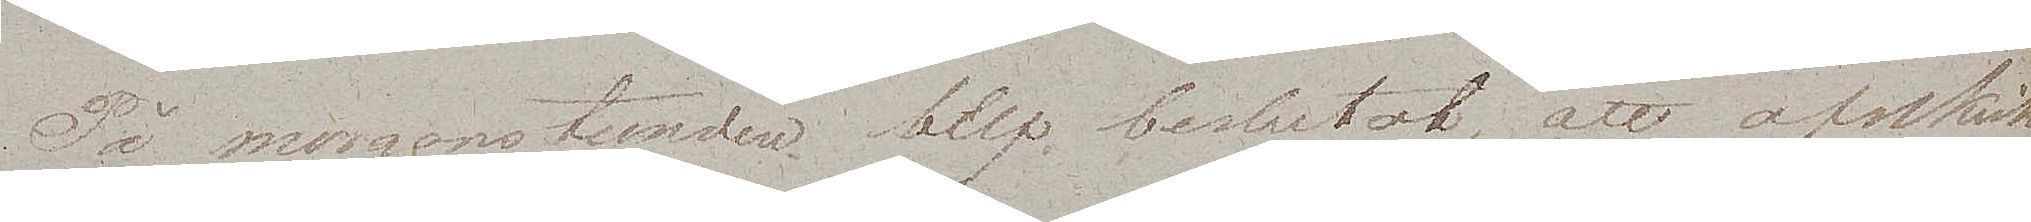På morgonstunden blef beslutat, att afskicka
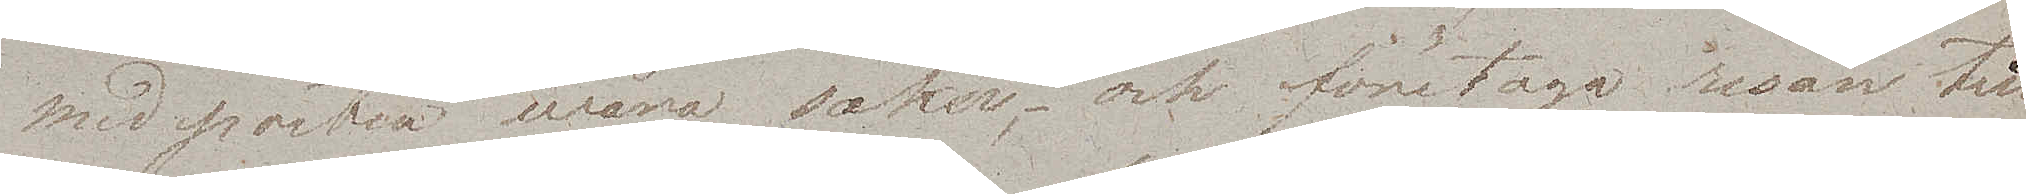med posten wåra saker, och företaga resan till
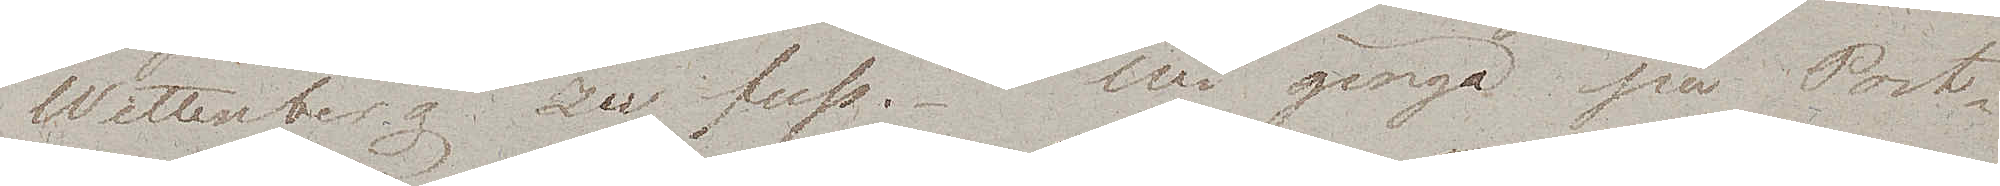Wittenberg zu fuss. Wi gingo på Post¬
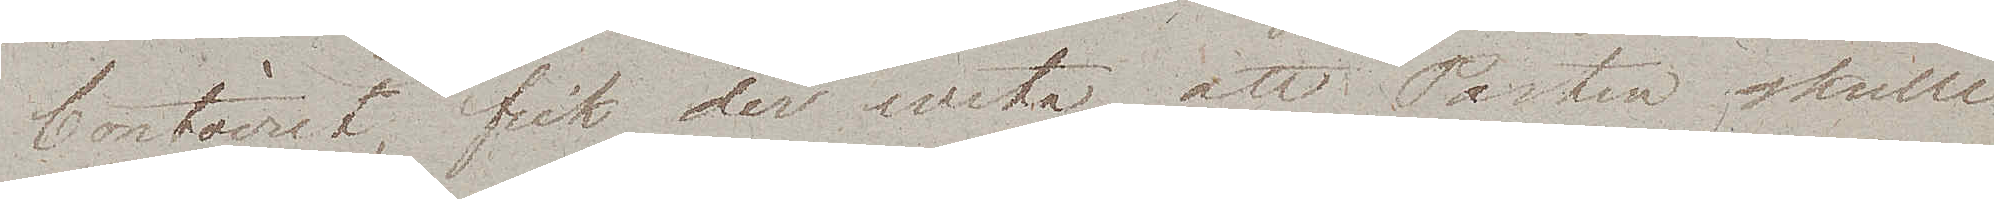Contoiret, fick der weta att Posten skulle
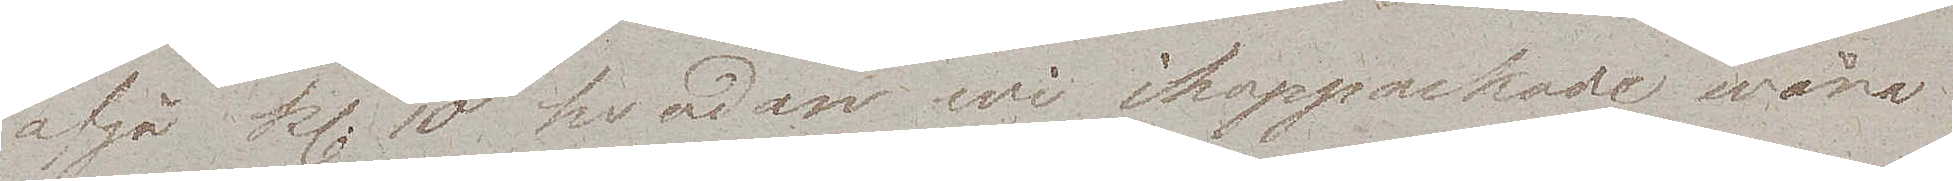afgå kl. 10 hvadan wi ihoppackade wåra
